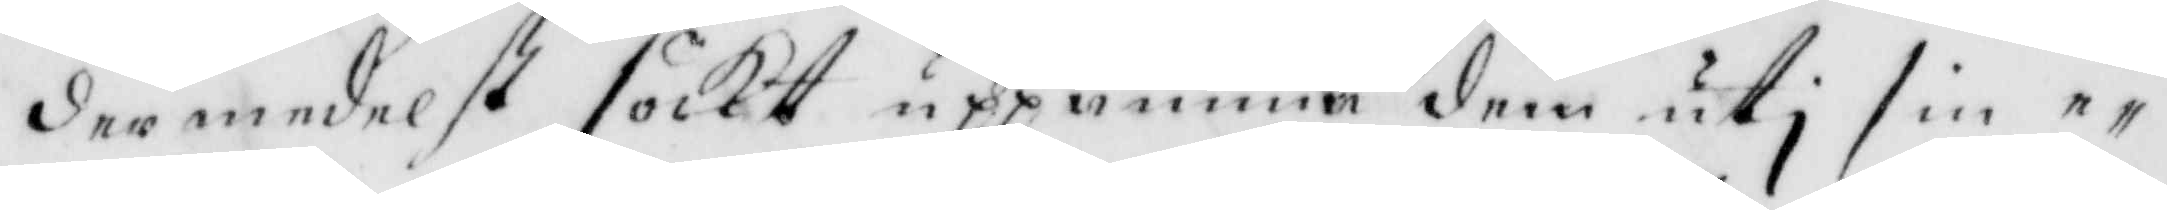dermedelst sökt uppanna dem uti sin e¬
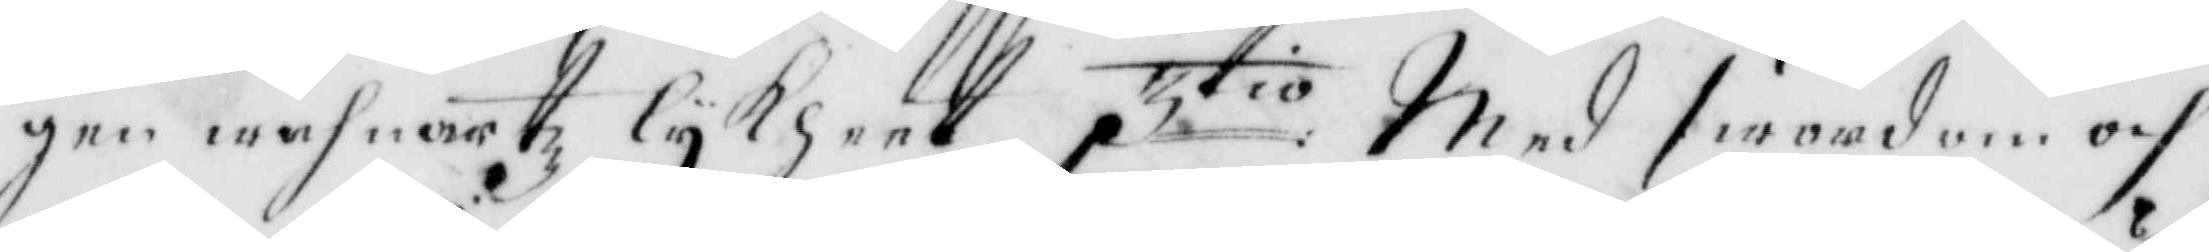gen wahnartz lykheet 3tio med swordom och
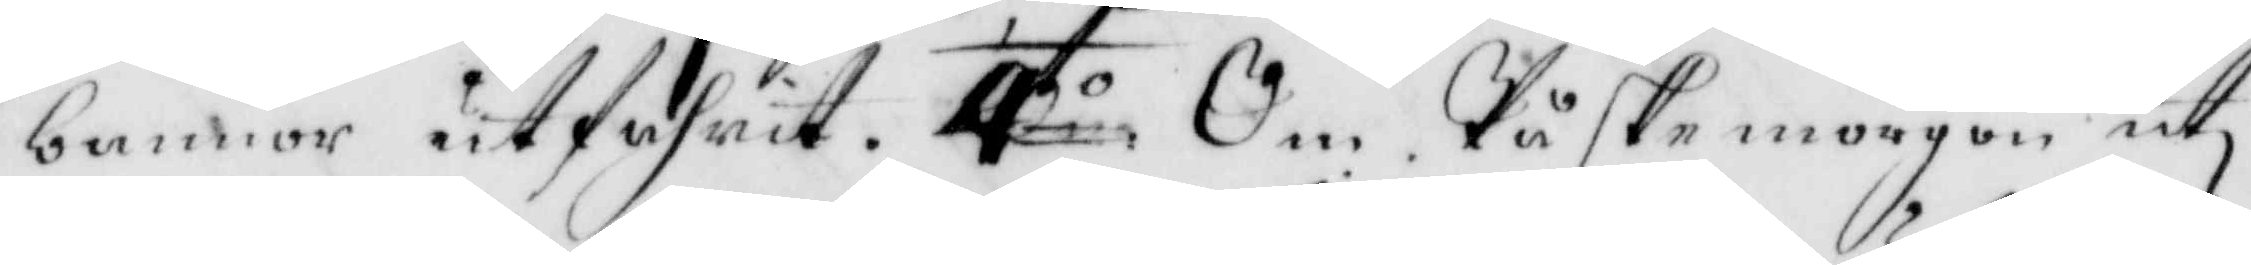bannor utfahrit. 4to Om Påske morgon uti
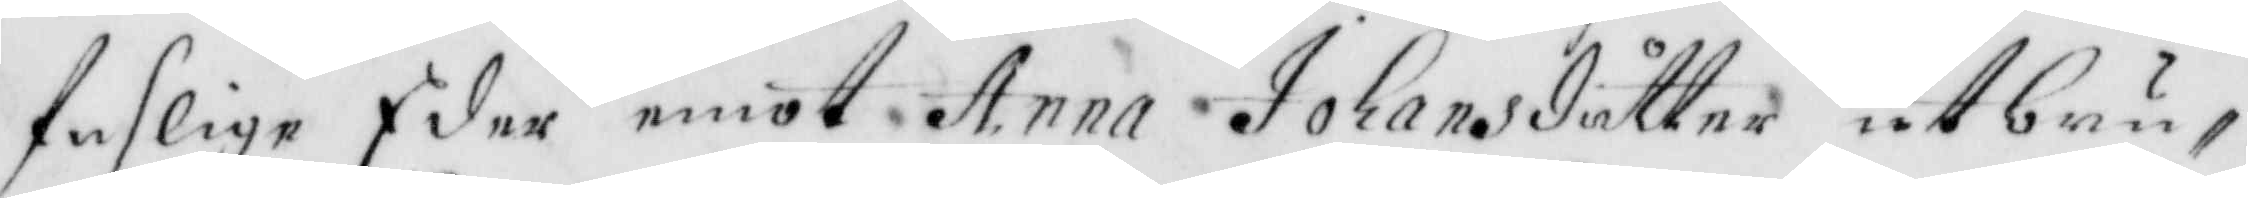faslige Eder emot Anna Johansdotter utbru¬
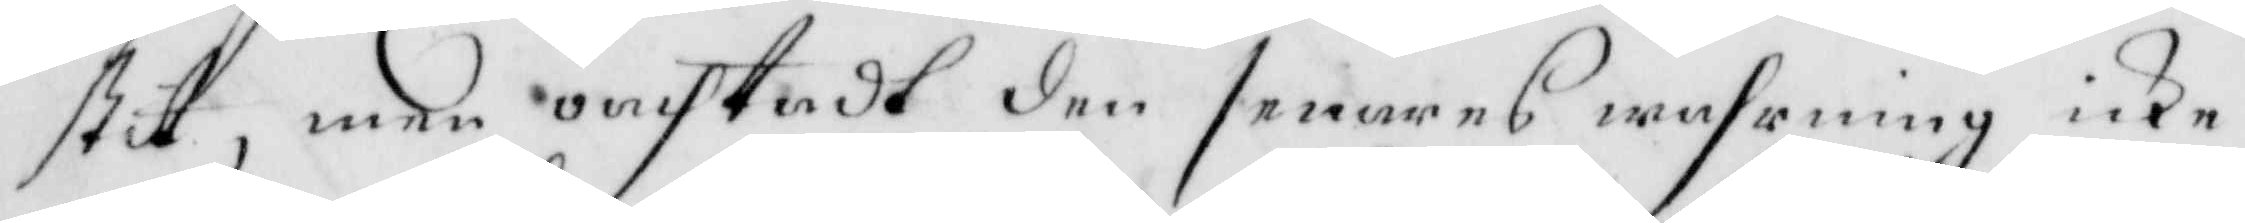stit, men oachtadt den senares wahrning icke
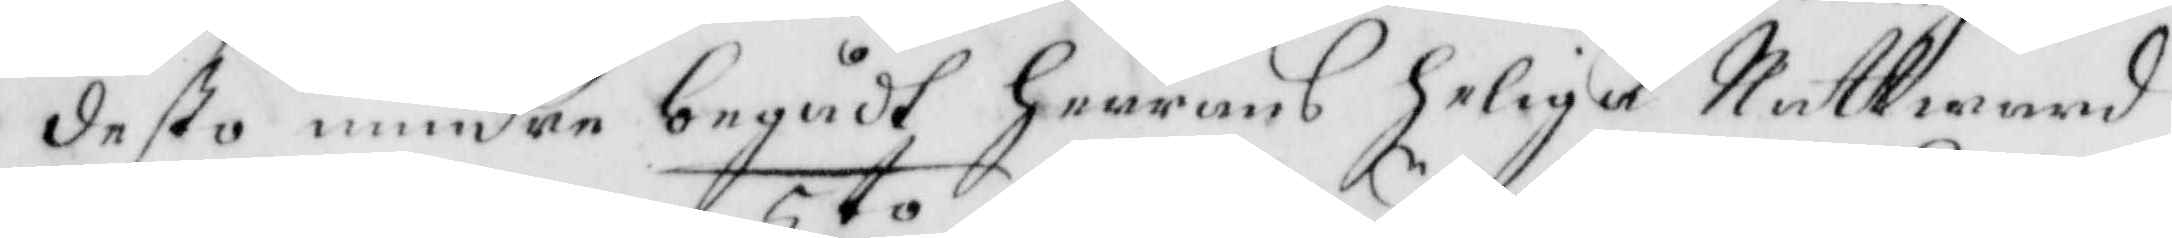desto mindre begådt Herrens helige Nattward
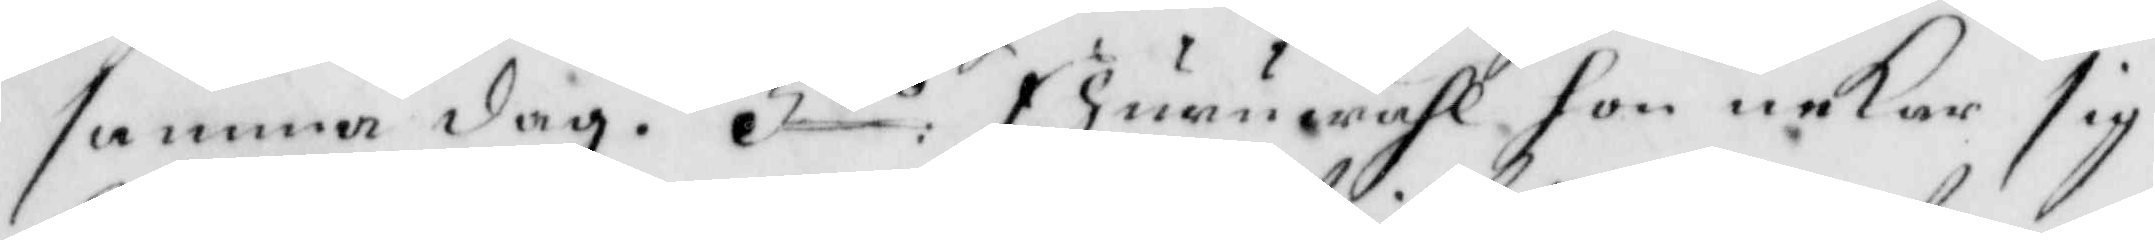samma dag. 5to Ehuruwähl hon nekar sig
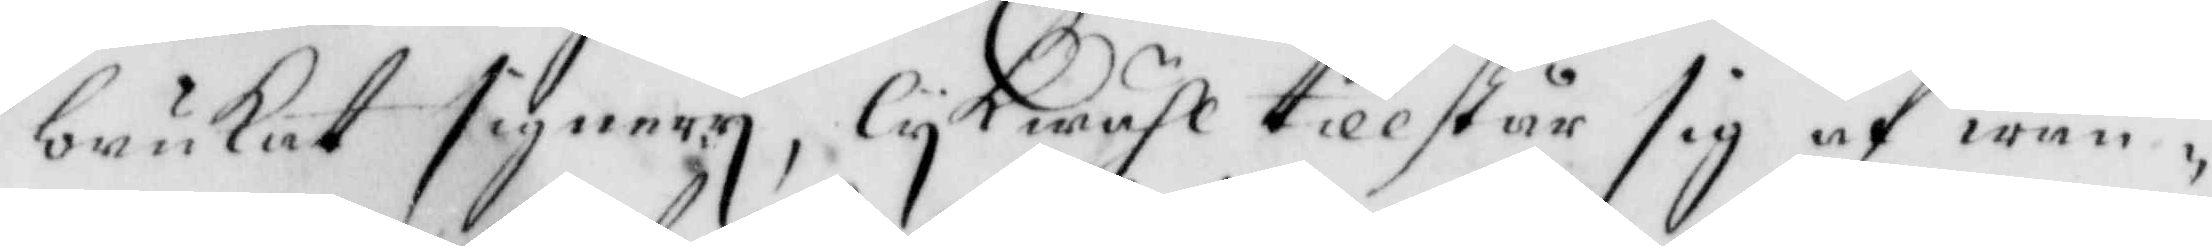brukat signery, lykwähl tillstår sig af wan¬
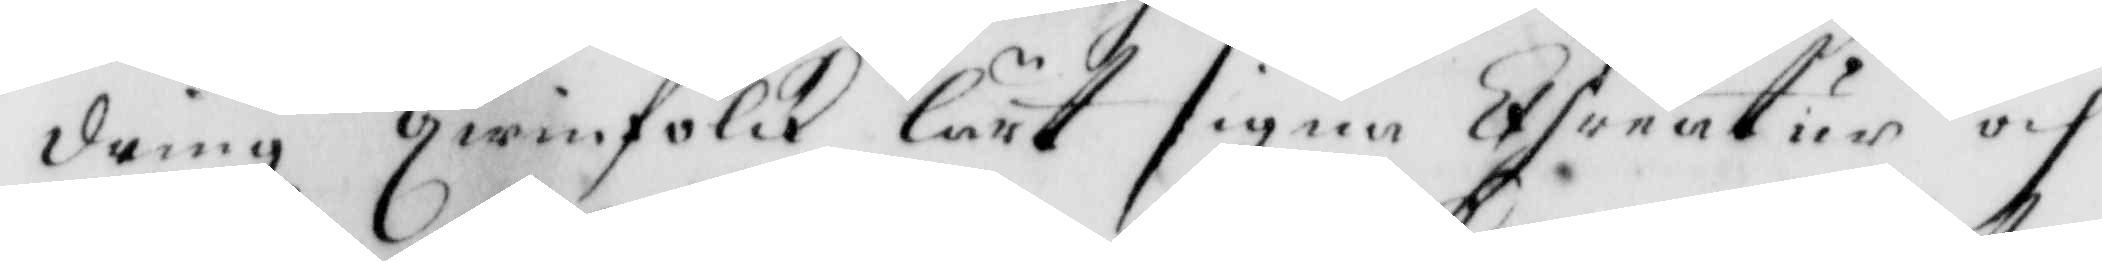dringz qwinfolck lärt signa Chreatur och
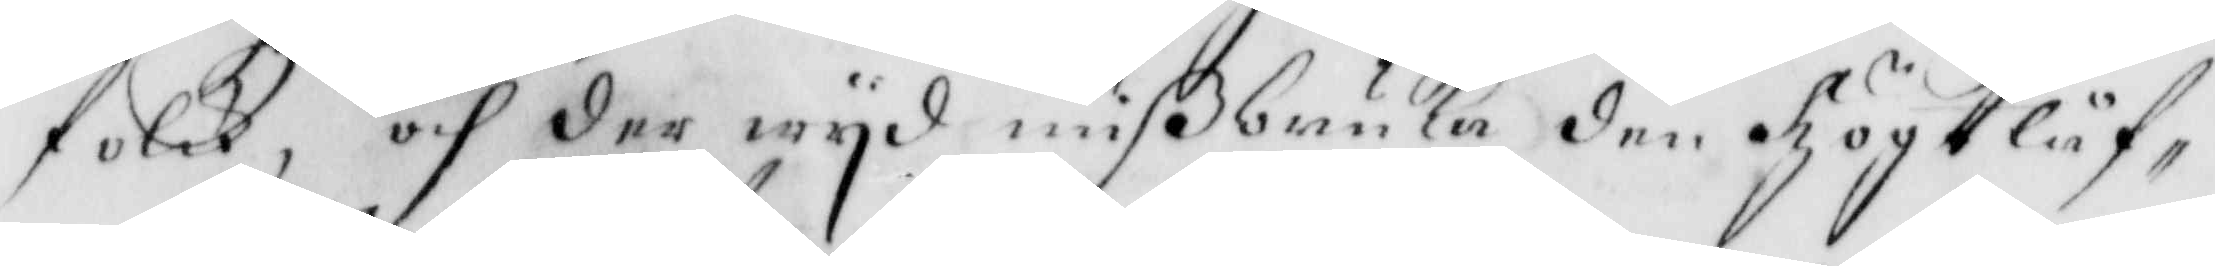folck, och der wyd mißbruka den Högtlåf¬
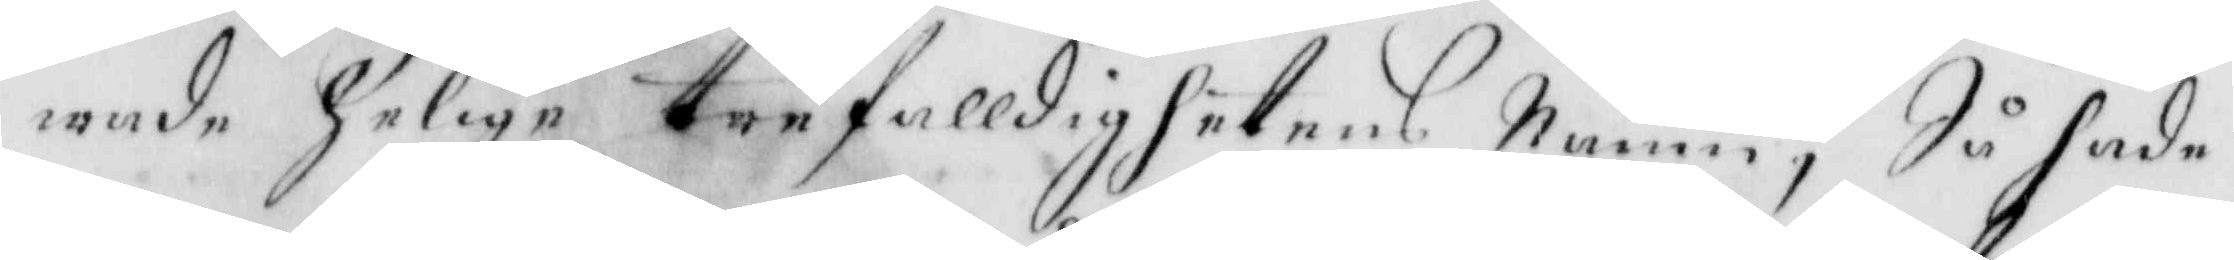wade Helige Trefalldighetens Namn, Så hade
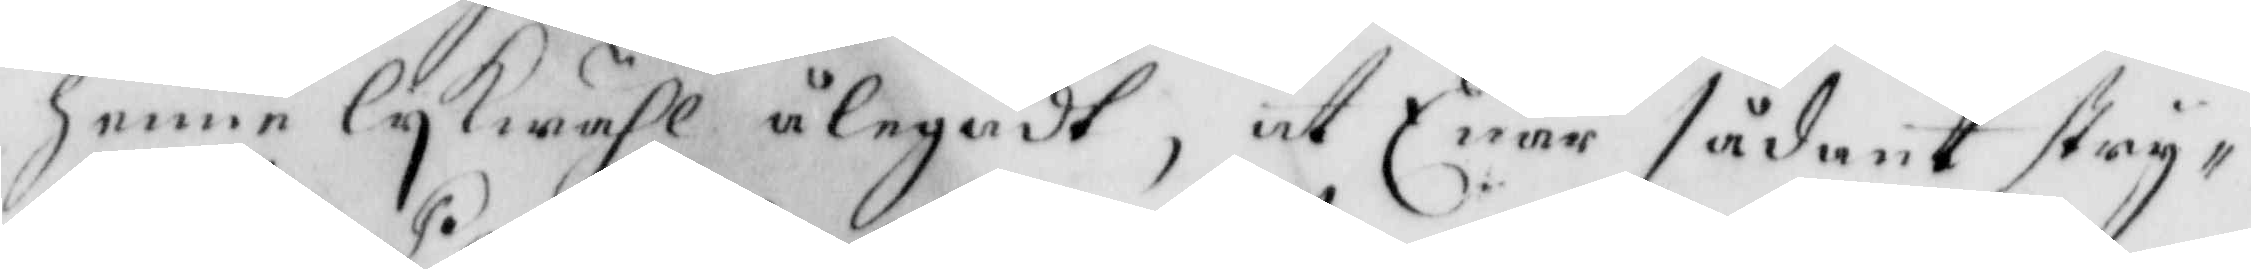henne lykwähl ålegadt, at Enär sådant stry¬
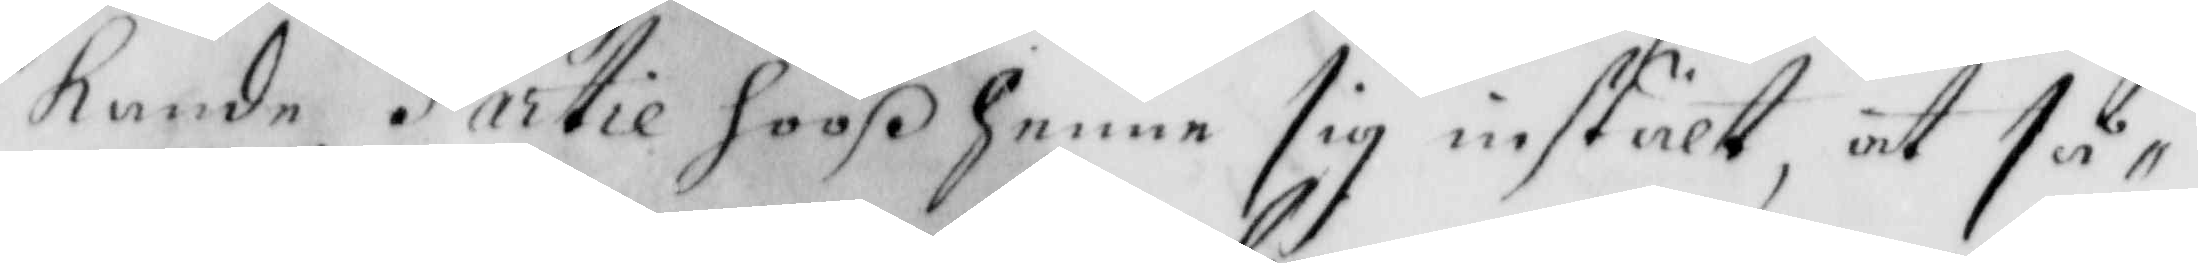kande Partie hooß henne sig instält, at så¬
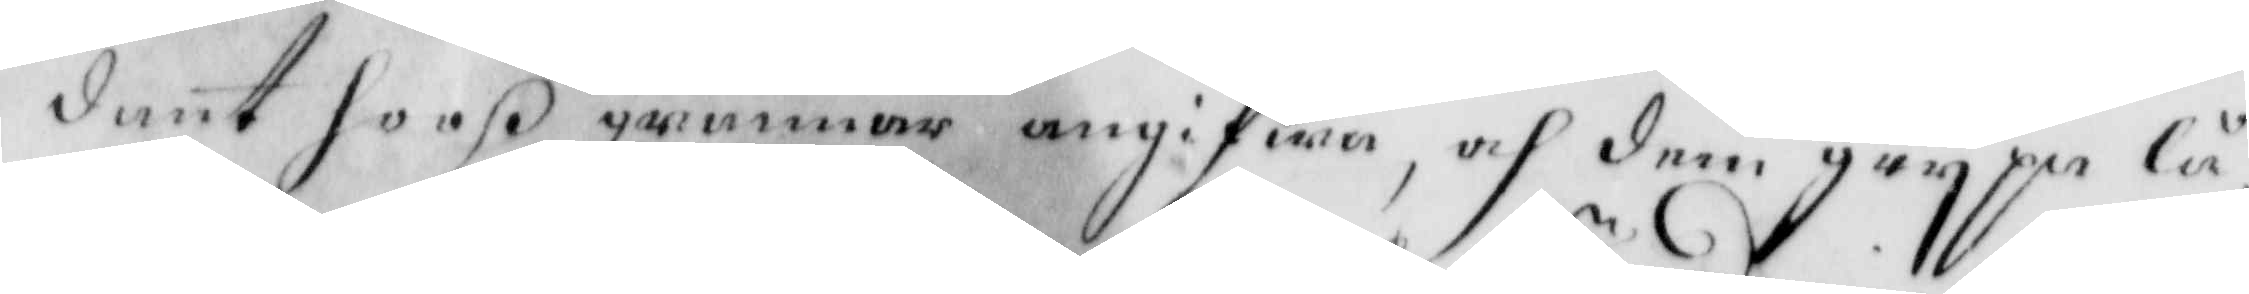dant hooß grannar angifwa, och dem grypa lå¬
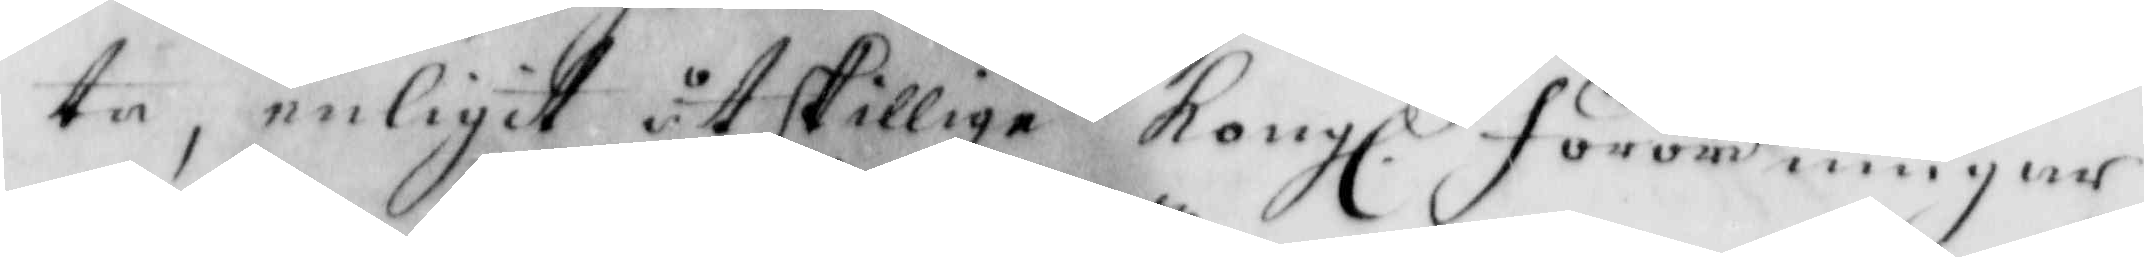ta, enligit åtskillige Kongl. förordningar 
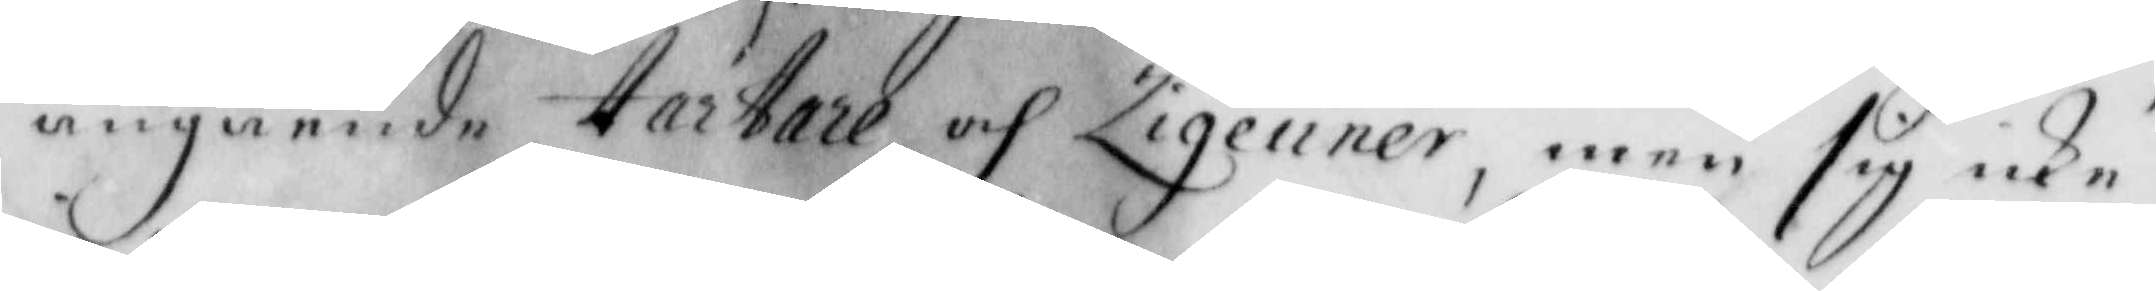angående tartare och Zigenner, men sig icke
